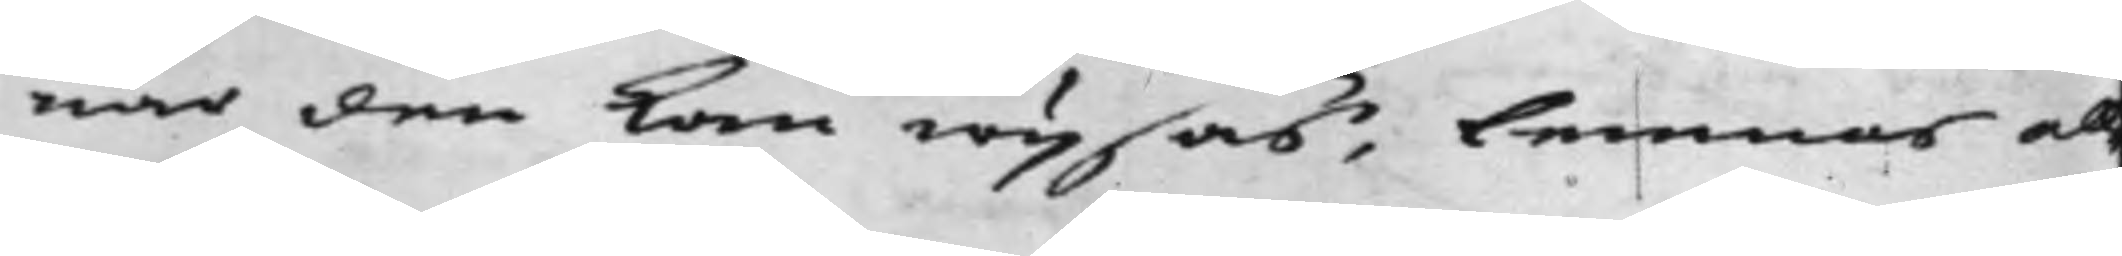när den kan wijsas, lemnas all¬
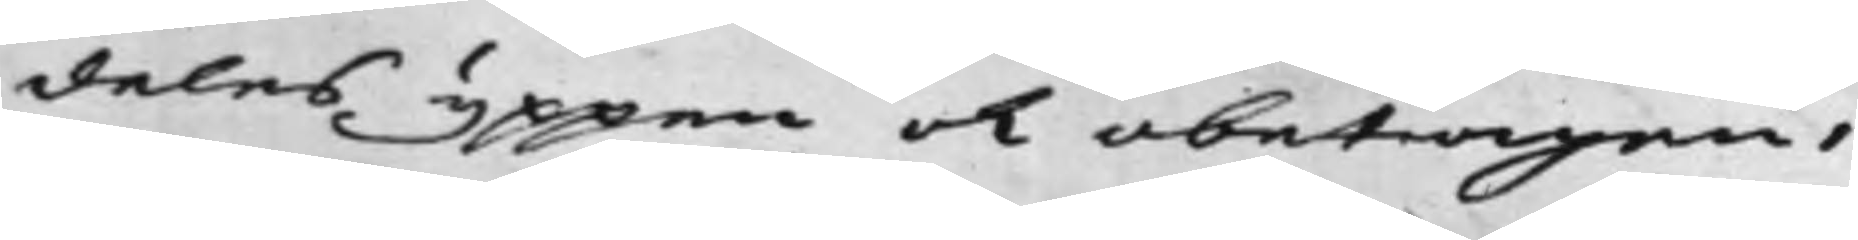deles yppen och obetagen.
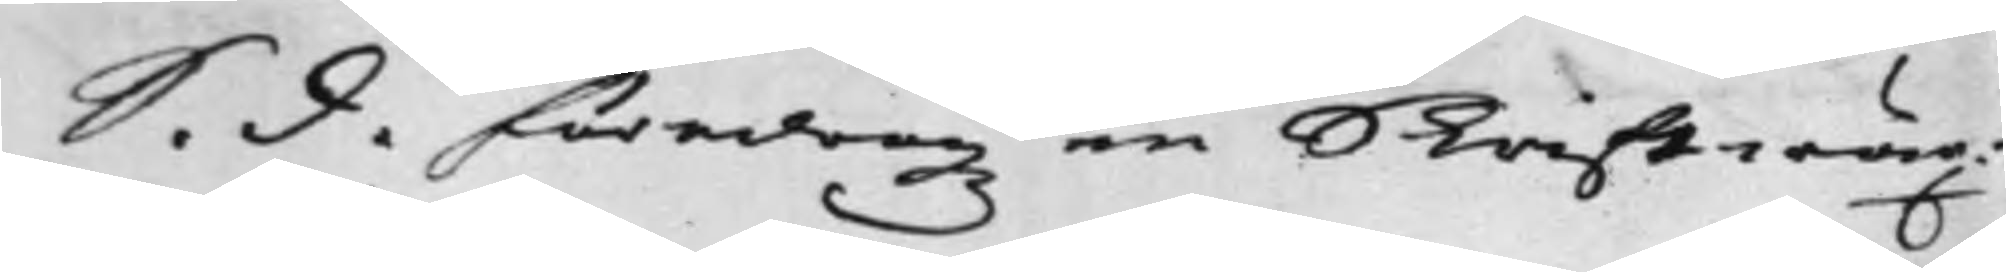S. d. föredrogz en Skirftwäx¬
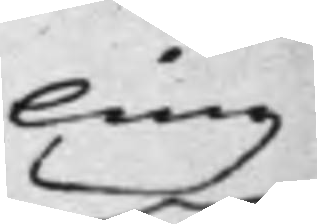ling
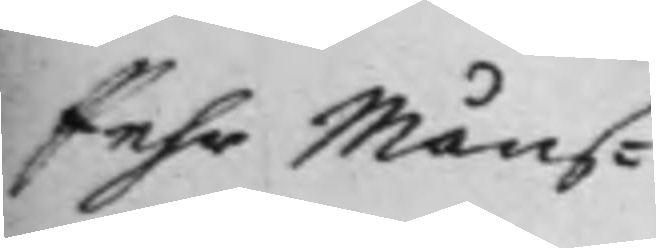Pehr Måns¬
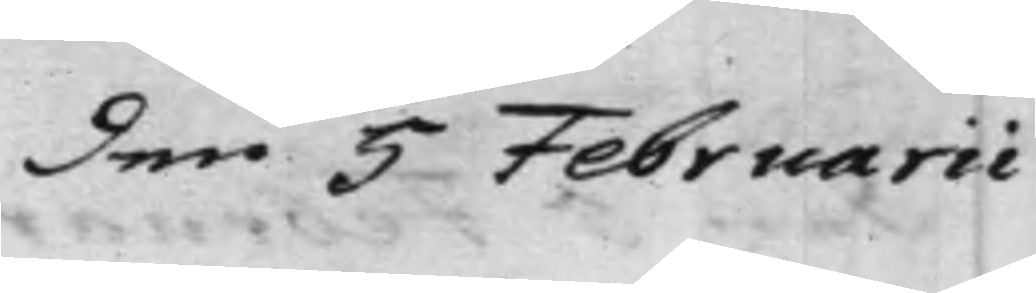den 5 Februarii
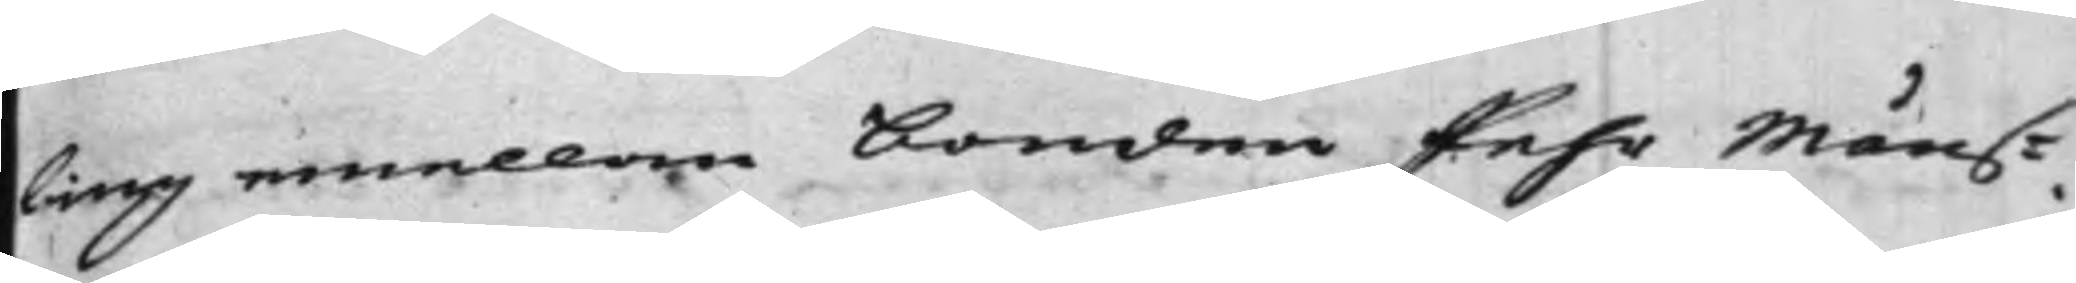ling emellan bonden Pehr Måns¬
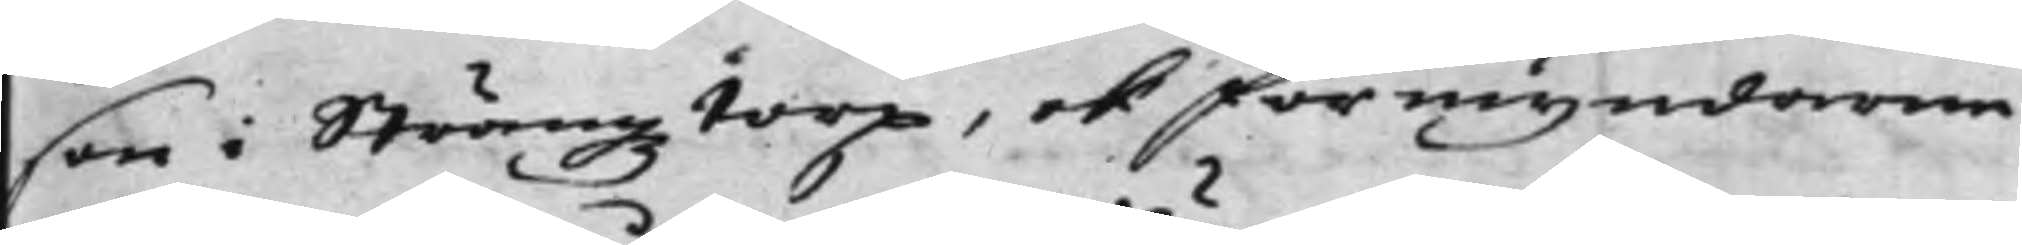son i Strängztorp, och förmyndarne
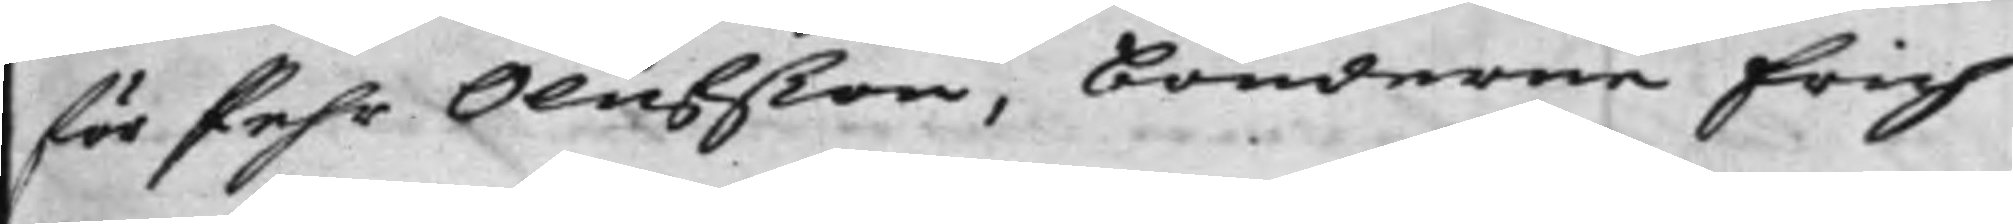för Pehr Olufßon, bönderne Erich
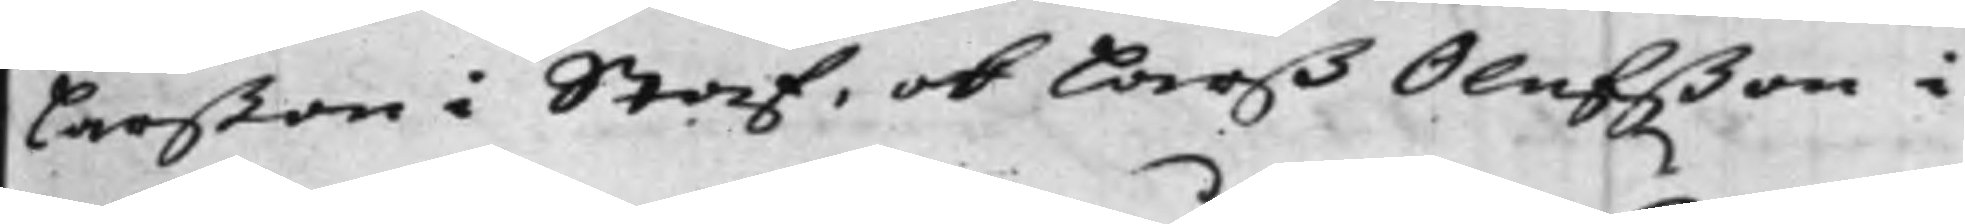Larßon i Staf, ok Larß Olufßon i
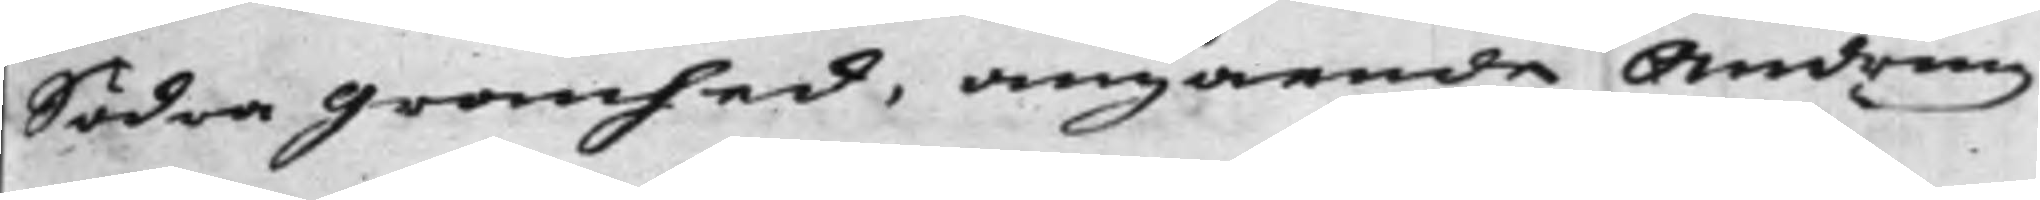Södra Granhed, angående Ändring
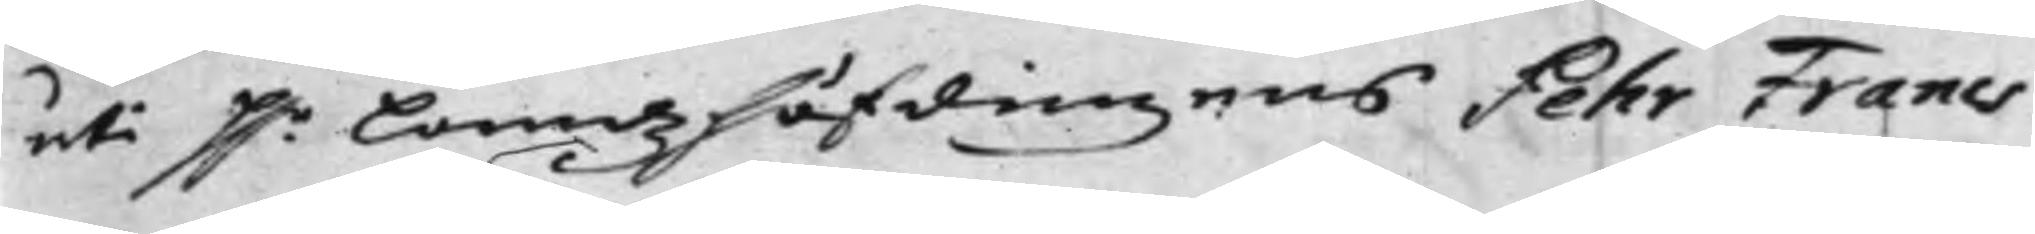uti H.r Landzhöfdingens Pehr Francs
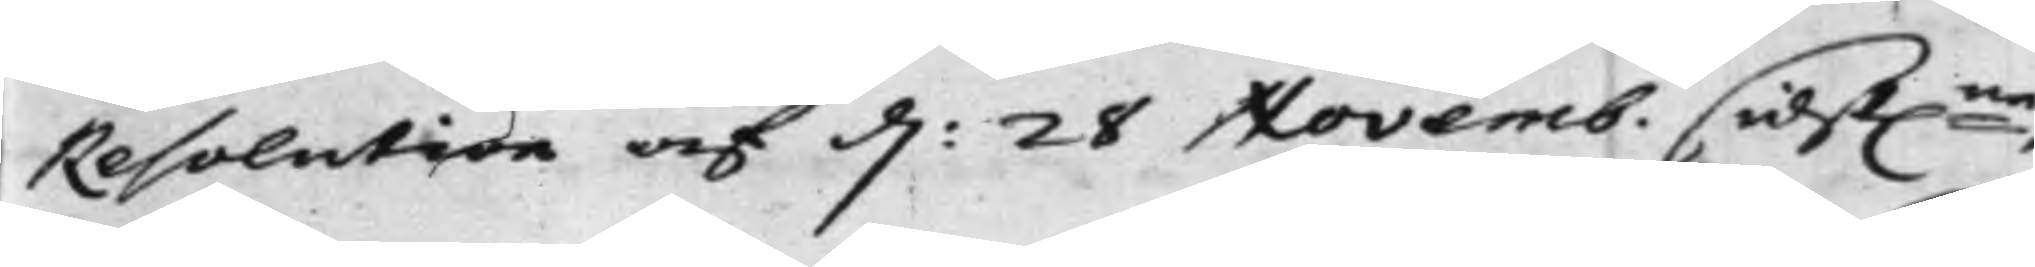Resolution af d: 28 Novemb. sidst:ne,
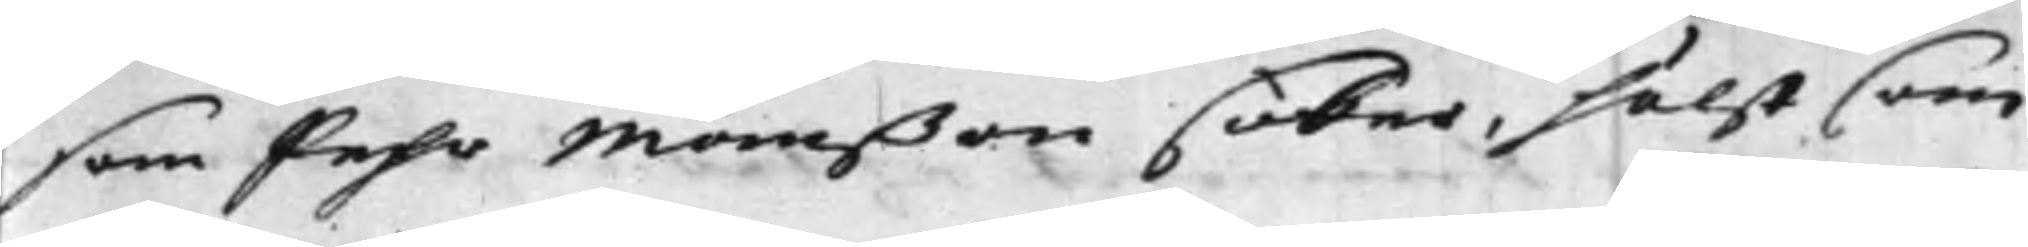som Pehr Månßon söker, hälst som
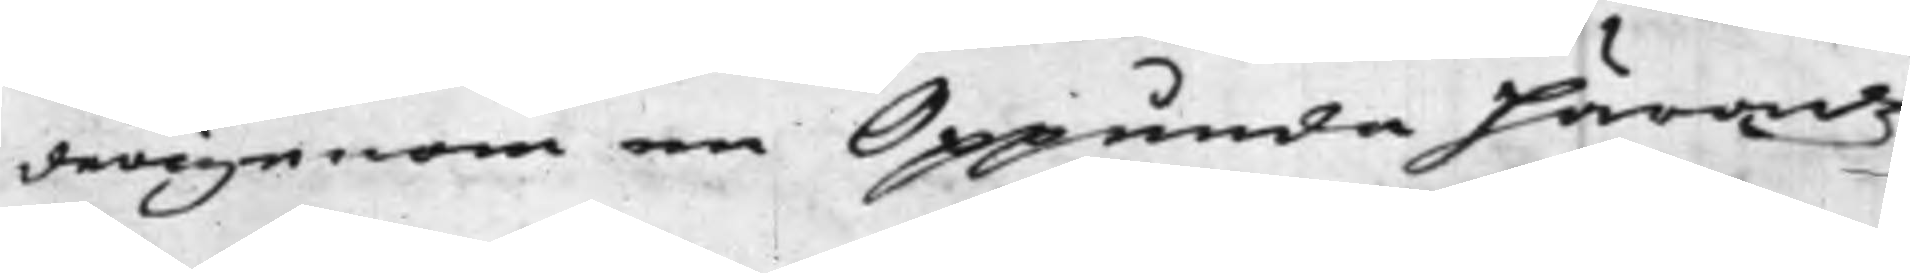derigenom en Oppunda Häradz
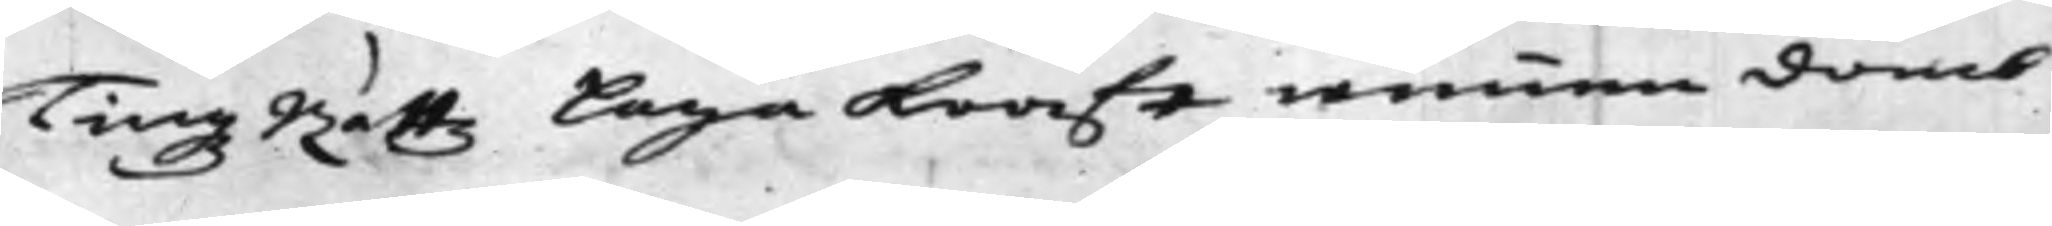TingsRättz Laga Kraft wunnen domb
